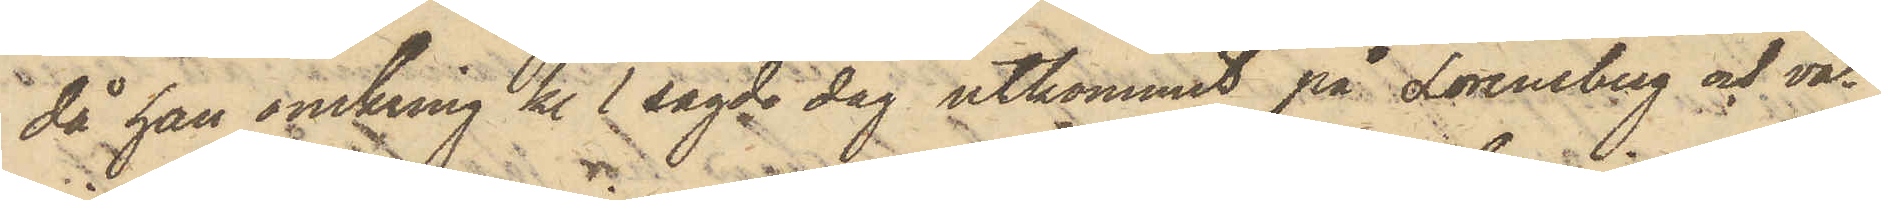då han omkring kl. 1 sagde dag utkommit på Lorensberg och va¬
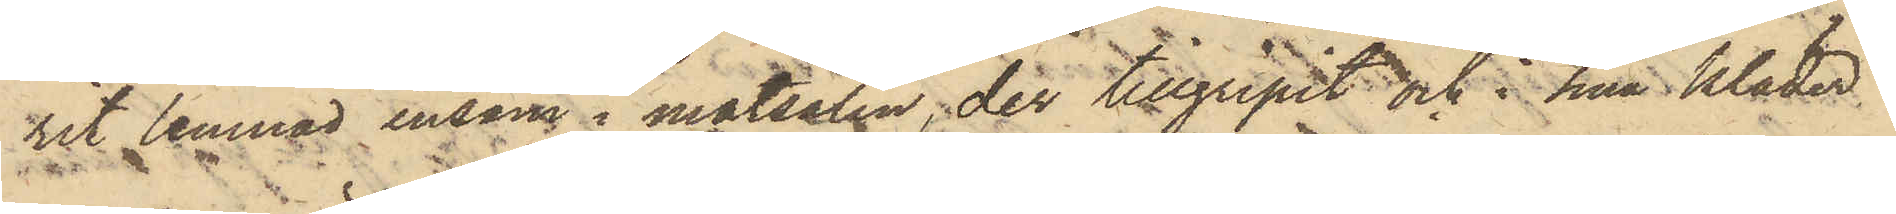rit lemnad ensam i matsalen, der tillgripit och i sina kläder
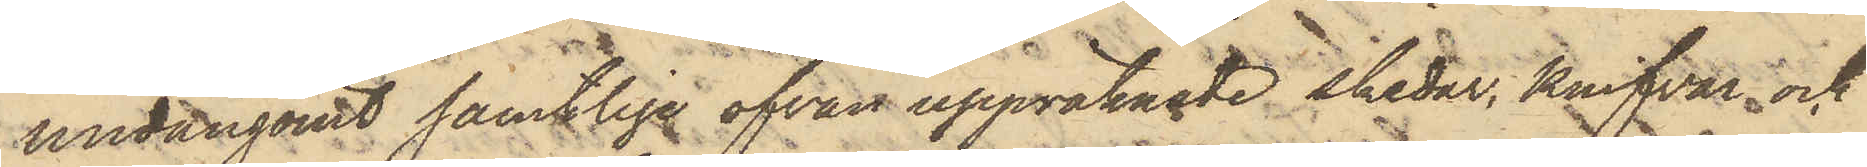undangömt samtliga ofvan uppräknade skedar, knifvar och
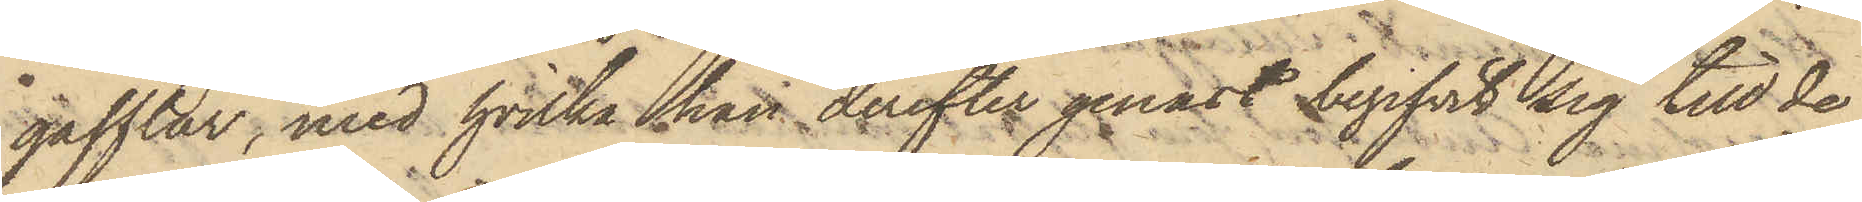gafflar, med hvilka han derefter genast begifvit sig till de
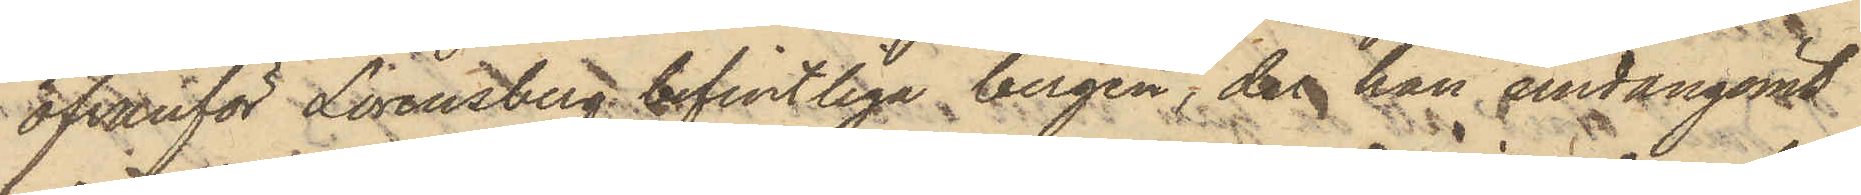ofvanför Lorensberg befintliga bergen, der han undangömt
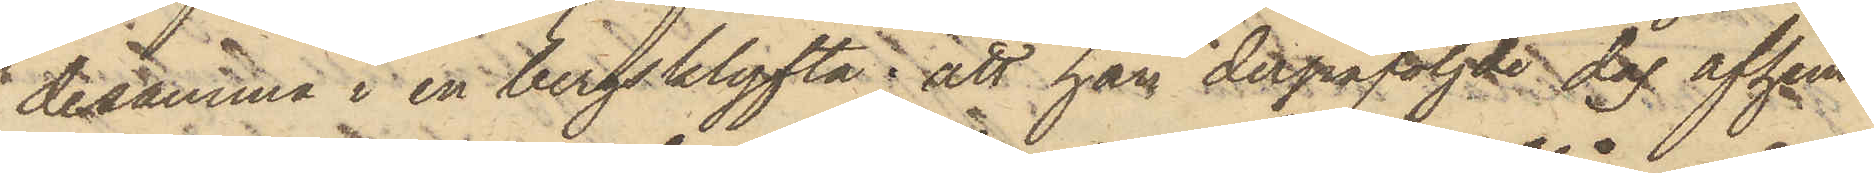desamma i en bergsklyfta; att han derpåföljde dag afhem¬
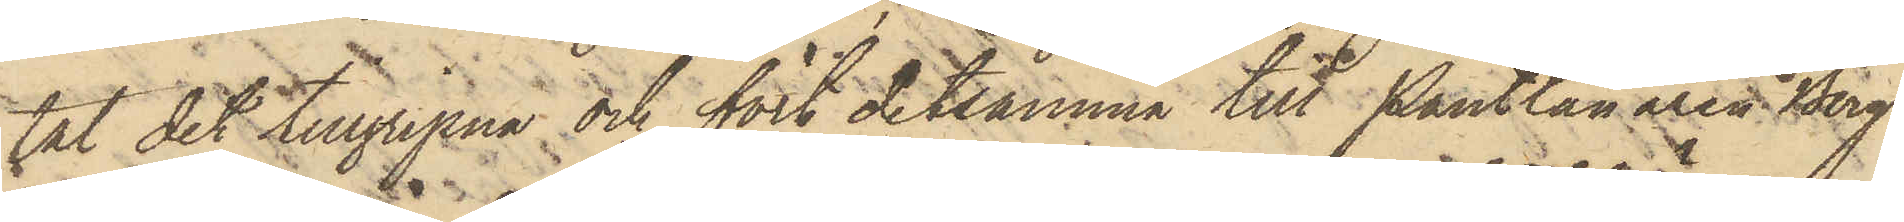tat det tillgripna och fört detsamma till Pantlånaren Berg
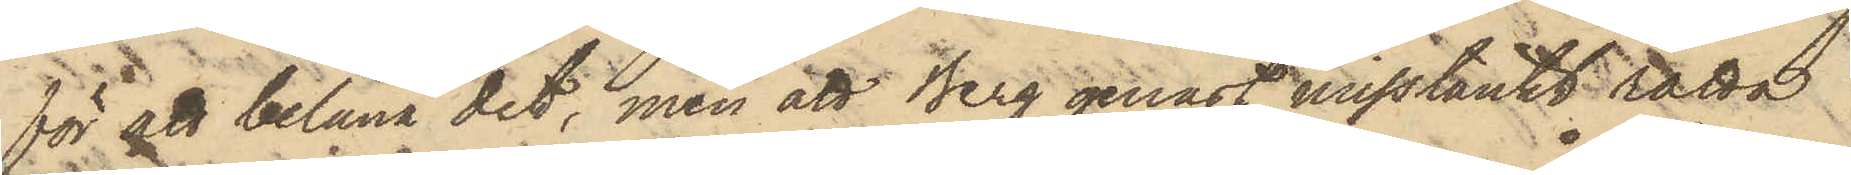för att belåna det, men att Berg genast misstänkt rätta
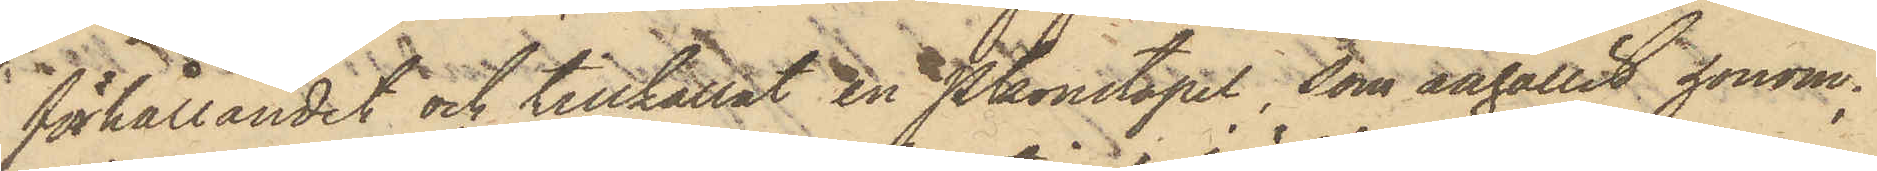förhållandet och tillkallat en Pkonstapel, som anhållit honom;
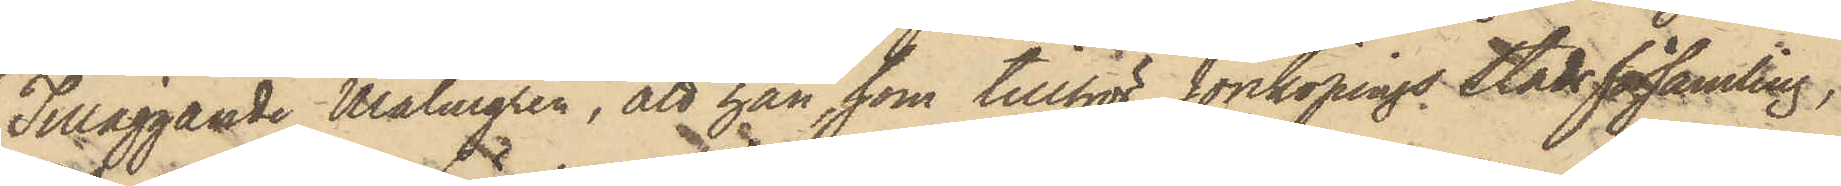Tilläggande Malmgren, att han, som tillhör Jönköpings Stadsförsamling,
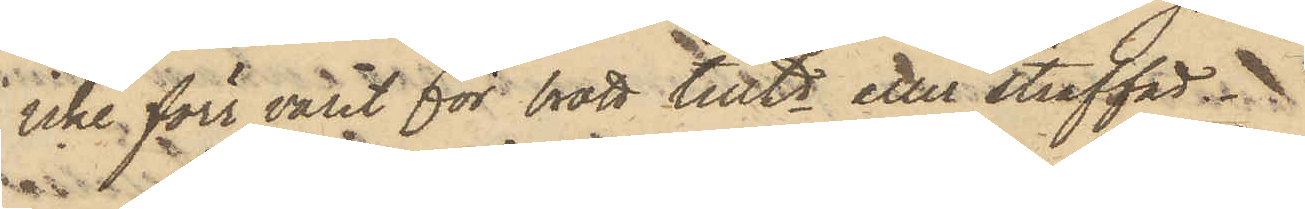icke förr varit för brott tilltd eller straffad.
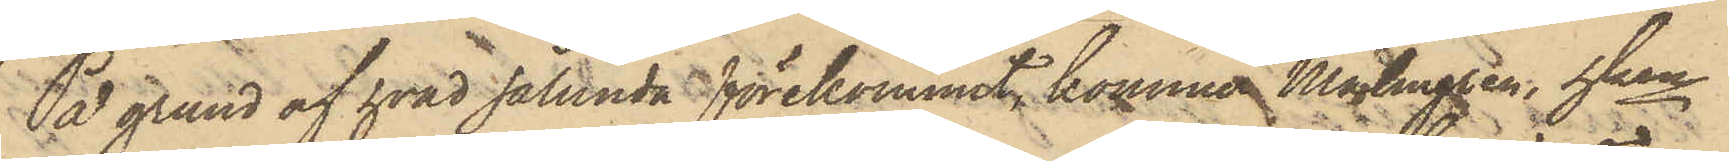På grund af hvad sålunda förekommit, kommer Malmgren, hken
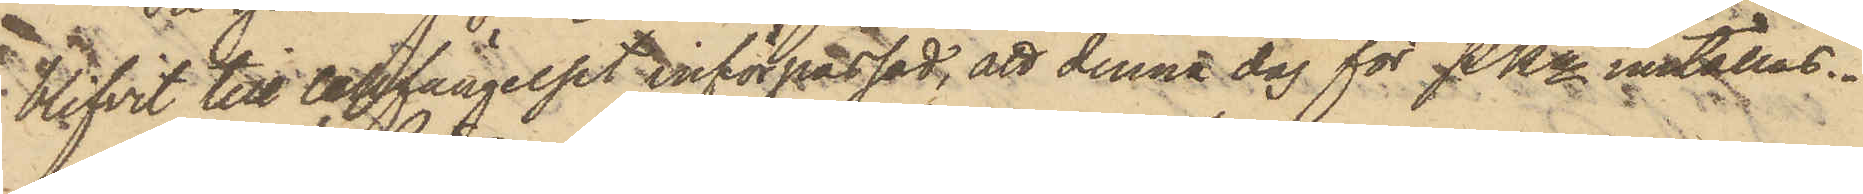blifvit till Cellfängelset införpassad, att denna dag för PKn inställas.
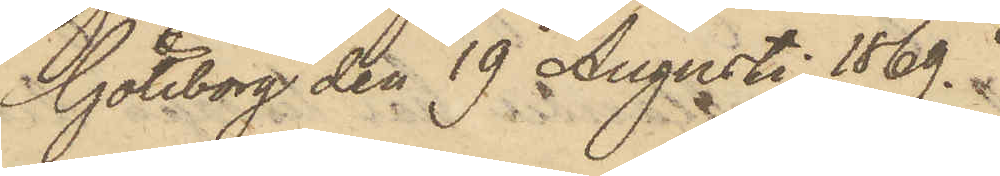Göteborg den 19 Augusti 1869.
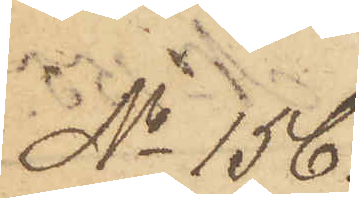No 156.
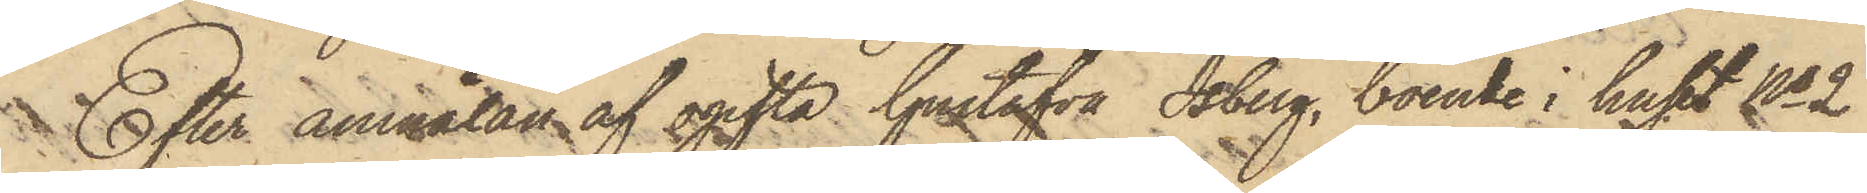Efter anmälan af ogifta Gustafva Isberg, boende i huset No 2
